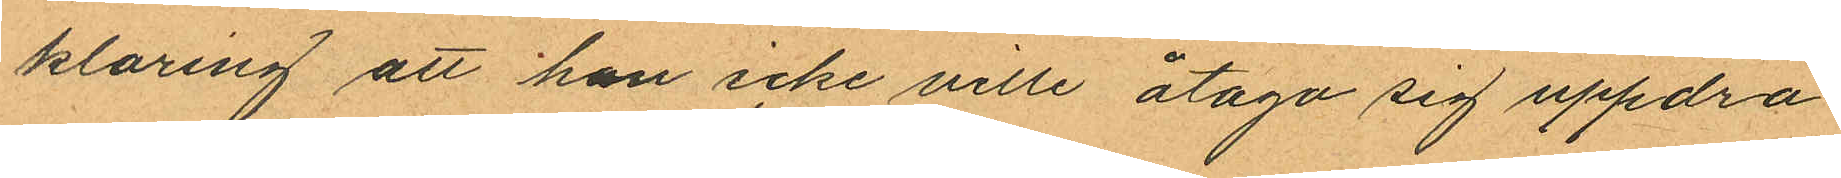klaring att han icke ville åtaga sig uppdra
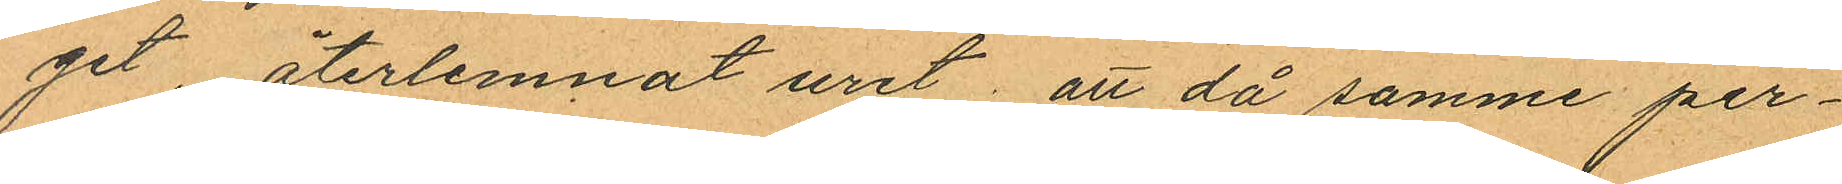get, återlemnat uret; att då samme per¬
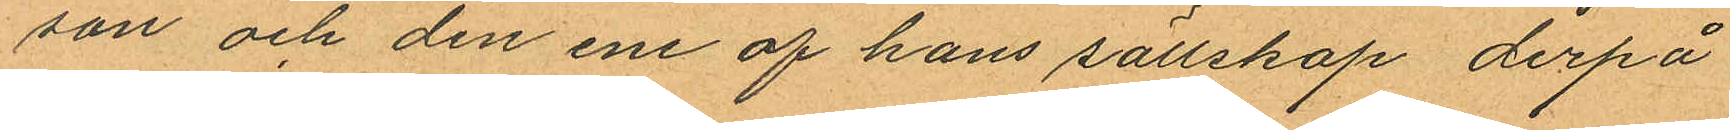son och den ene af hans sällskap derpå
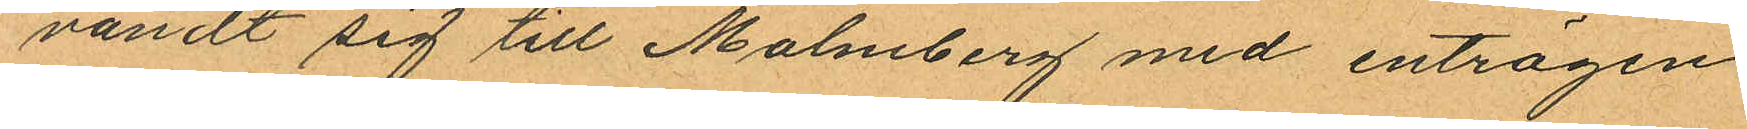vändt sig till Malmberg med enträgen
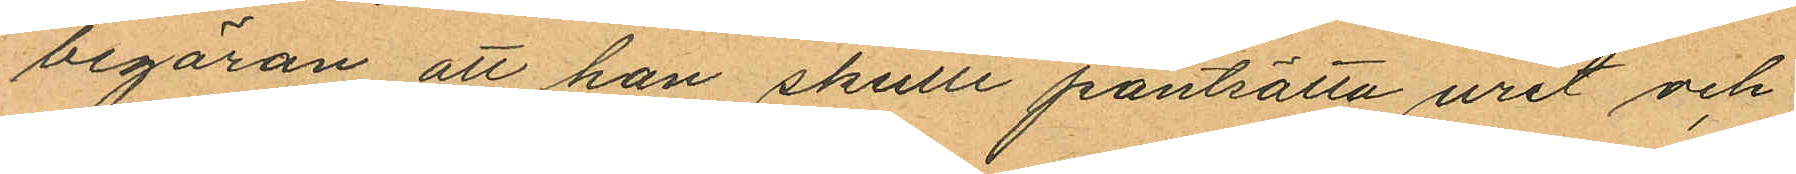begäran att han skulle pantsätta uret och
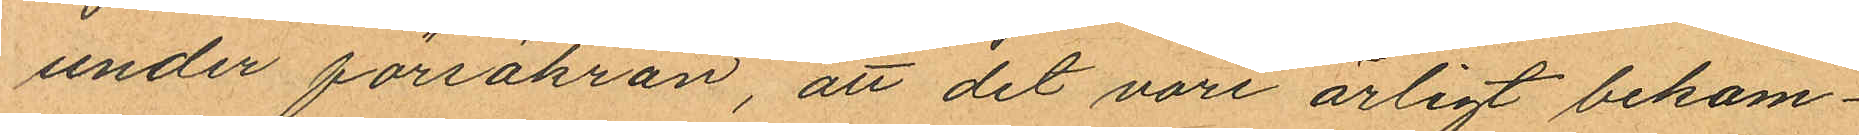under försäkran, att det vore ärligt bekom¬
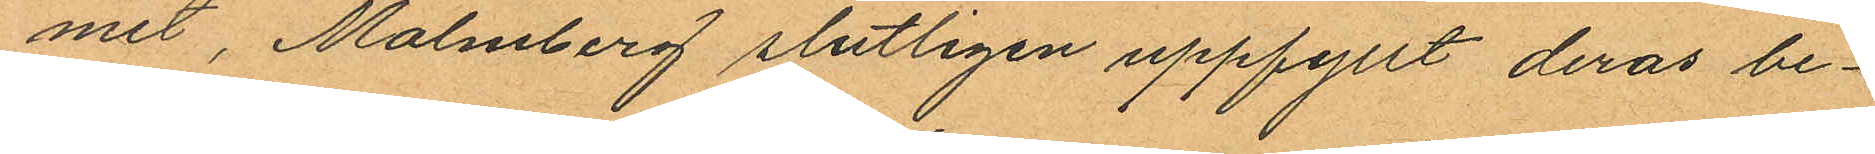met, Malmberg slutligen uppfyllt deras be¬
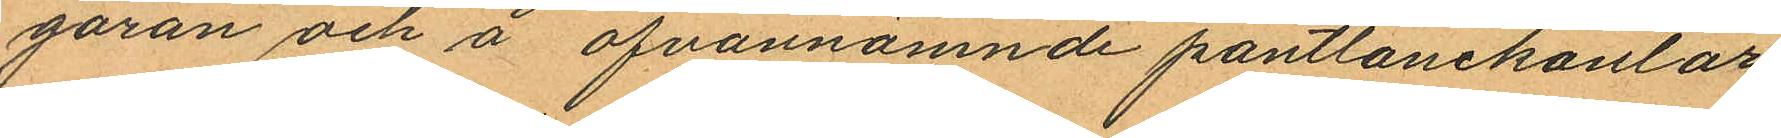gäran och å ofvannämnde pantlånekontor
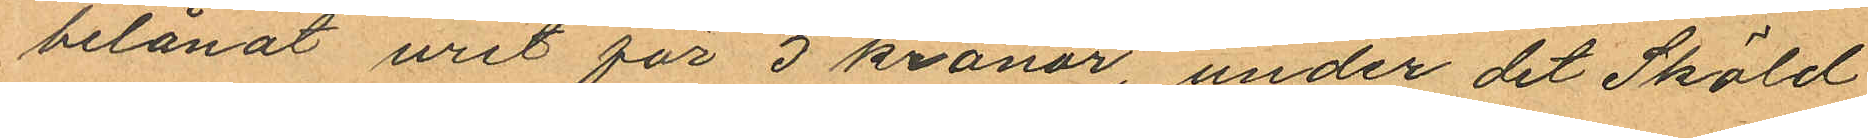belånat uret för 5 kronor, under det Sköld
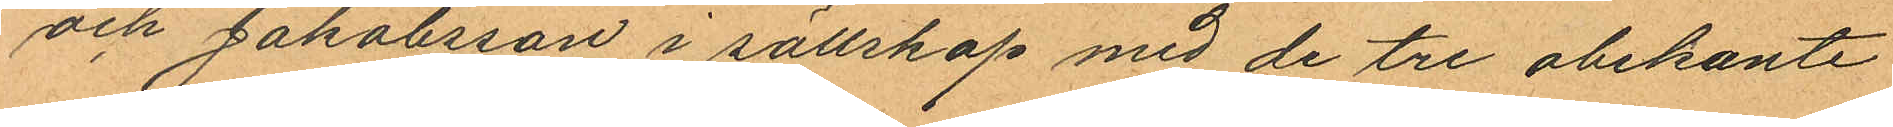och Jakobsson i sällskap med de tre obekante
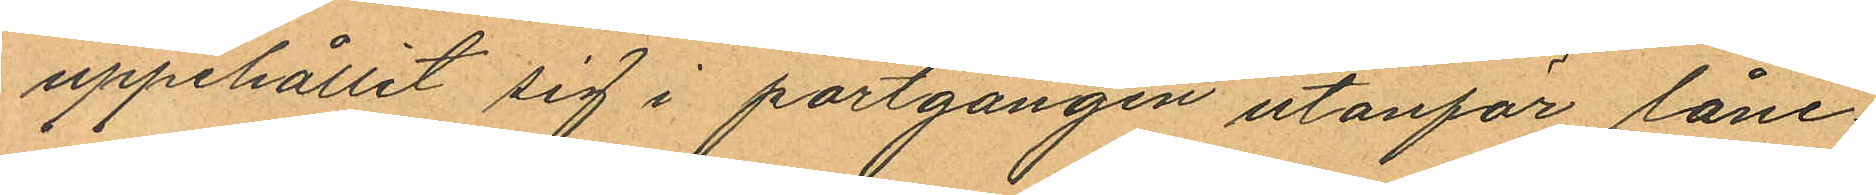uppehållit sig i portgången utanför låne¬
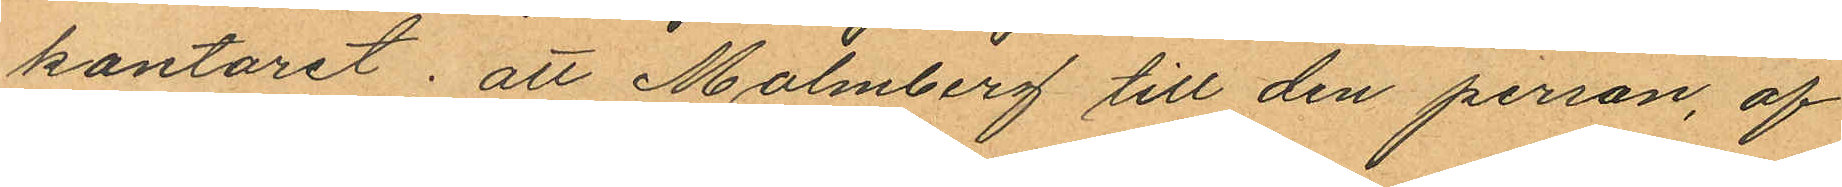kontoret; att Malmberg till den person, af
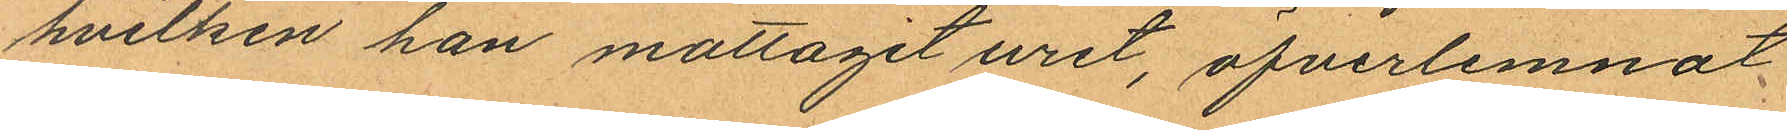hvilken han mottagit uret, öfverlemnat
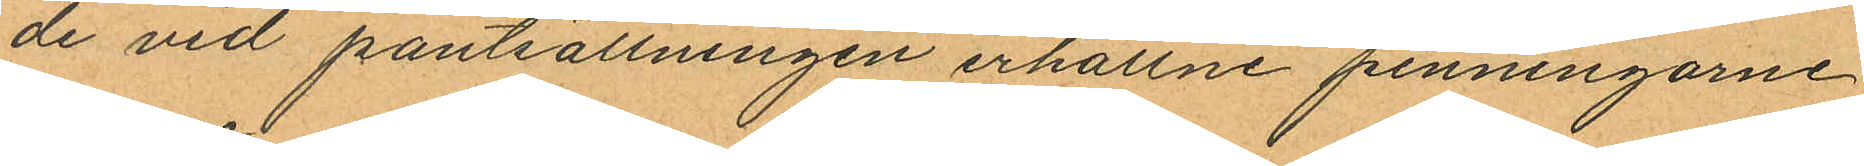de vid pantsättningen erhållne penningarne
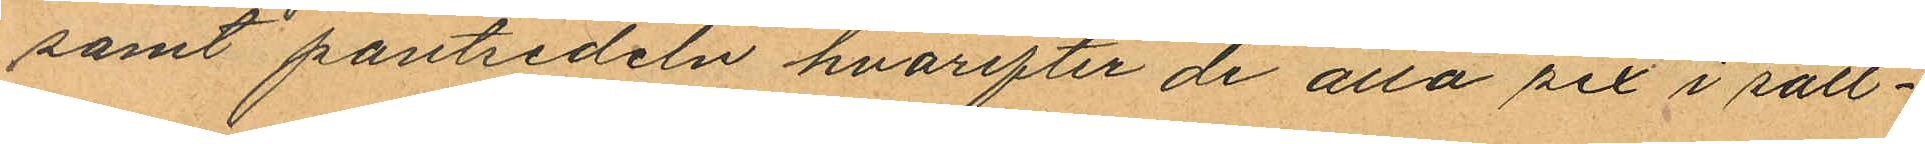samt pantsedeln hvarefter de alla sex i säll¬
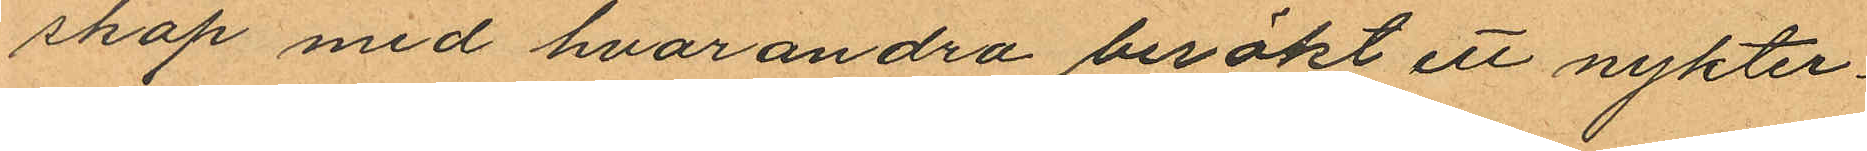skap med hvarandra besökt ett nykter¬
